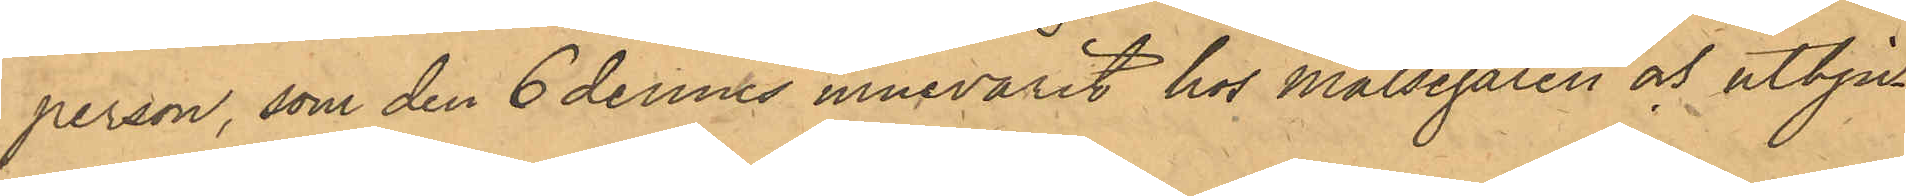person, som den 6 dennes innevarit hos Målsegaren och utbju¬
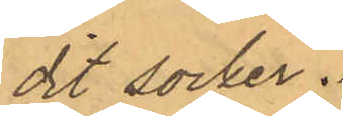dit socker.
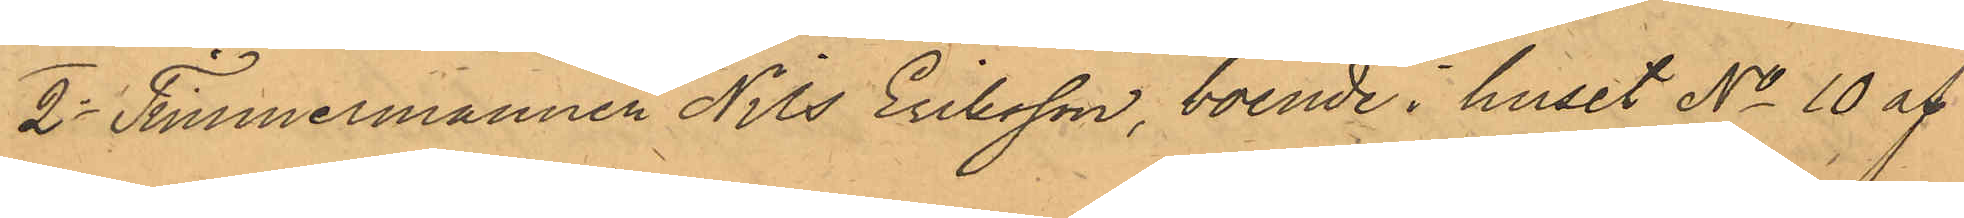2o Timmermannen Nils Eriksson, boende i huset No 10 af
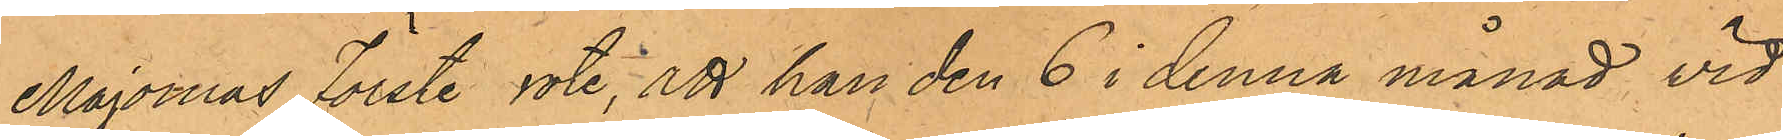Majornas Förste rote, att han den 6 i denna månad vid
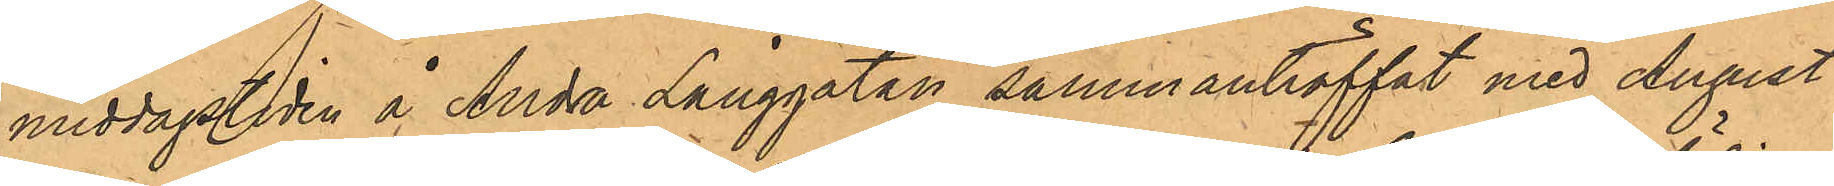middagstiden å Andra Långgatan sammanträffat med August
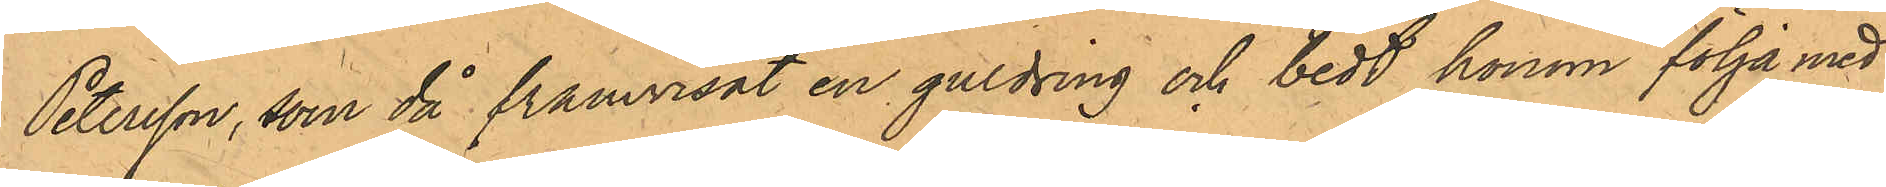Petersson, som då framvisat en guldring och bedt honom följa med
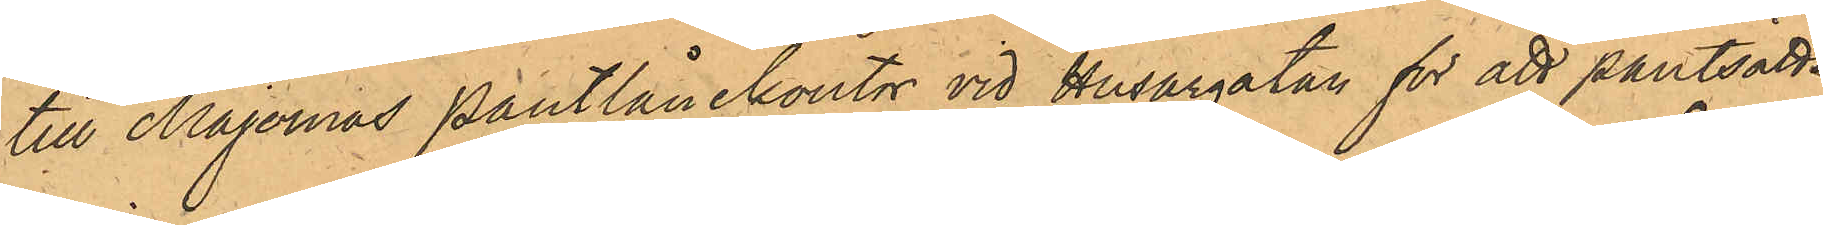till Majornas Pantlånekontor vid Husargatan för att pantsätta
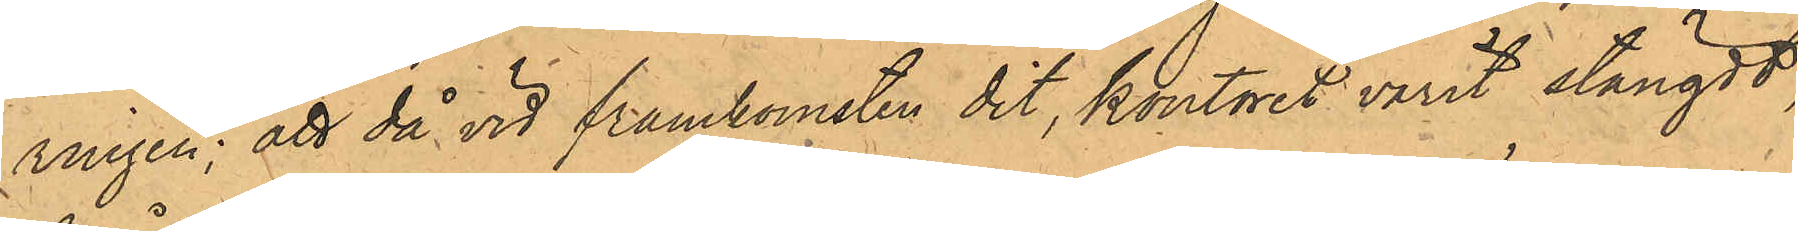ringen; att då vid framkomsten dit, kontoret varit stängdt,
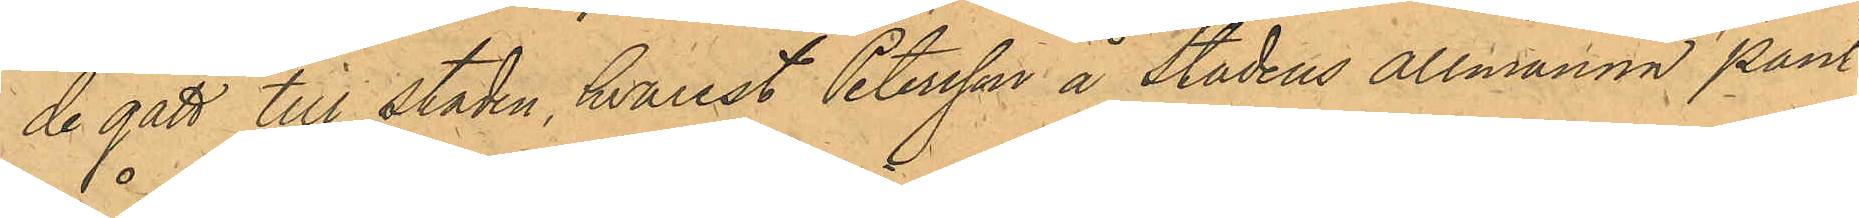de gått till staden, hvarest Petersson å Stadens Allmänna Pant¬
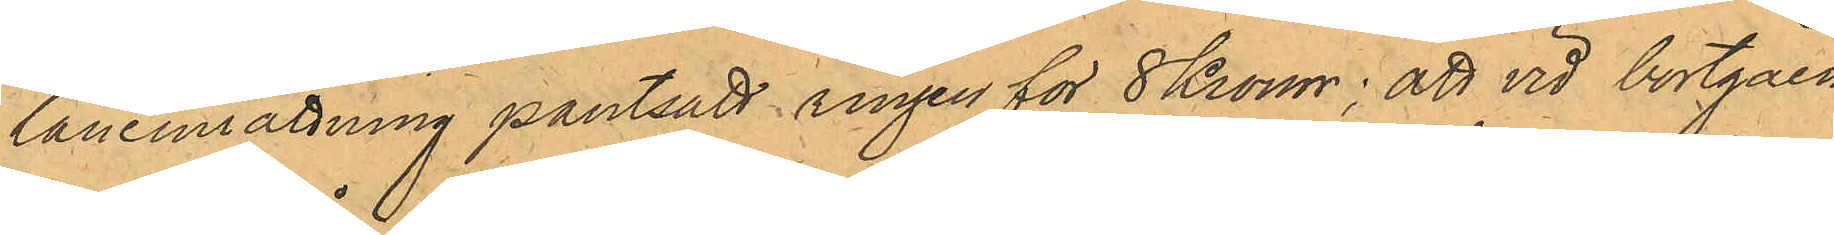låneinrättning pantsatt ringen för 8 Kronor; att vid bortgåen¬
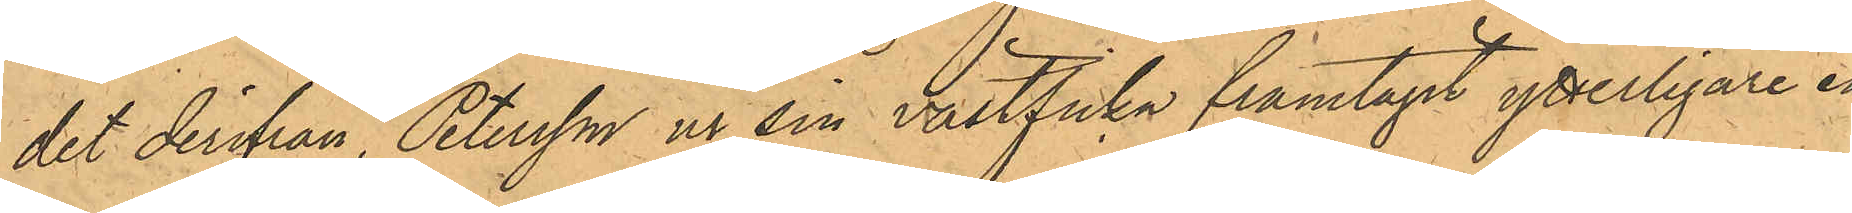det derifrån, Petersson ur sin västficka framtagit ytterligare en
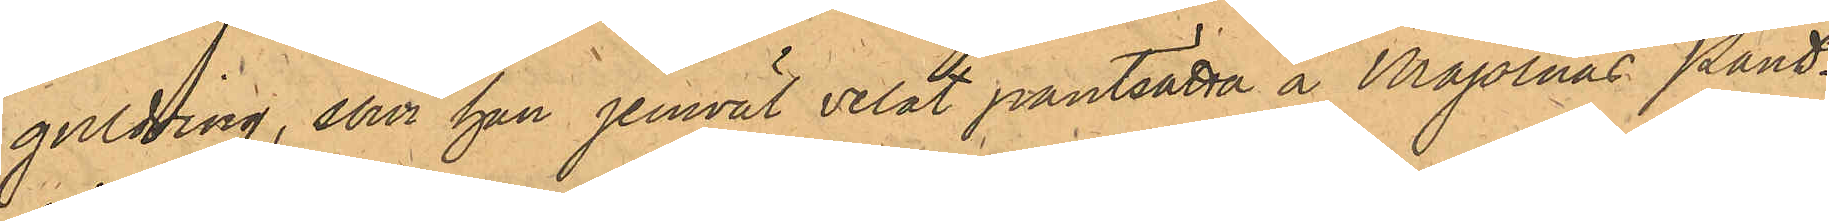guldring, som han jemväl velat pantsätta å Majornas Pant¬
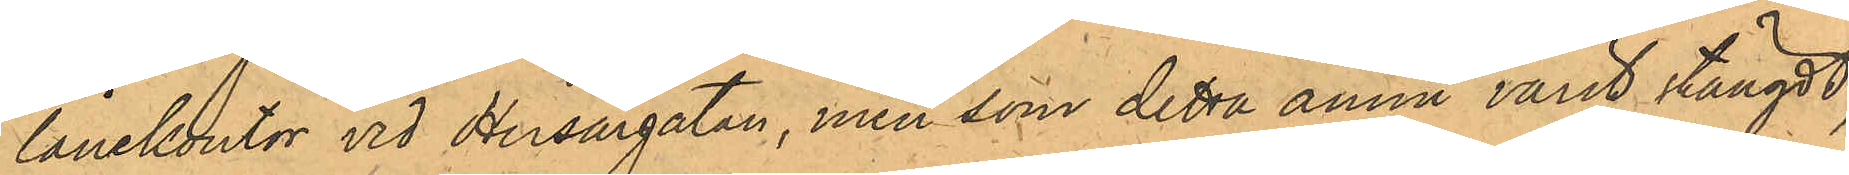lånekontor vid Husargatan, men som detta ännu varit stängdt,
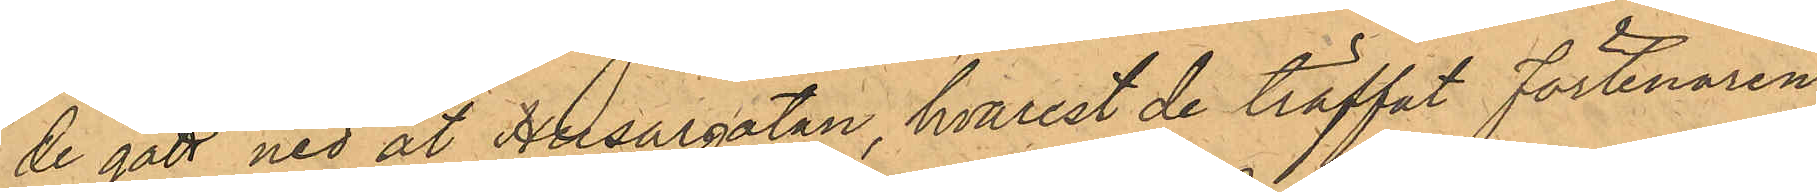de gått ned åt Husargatan, hvarest de träffat Förtenaren
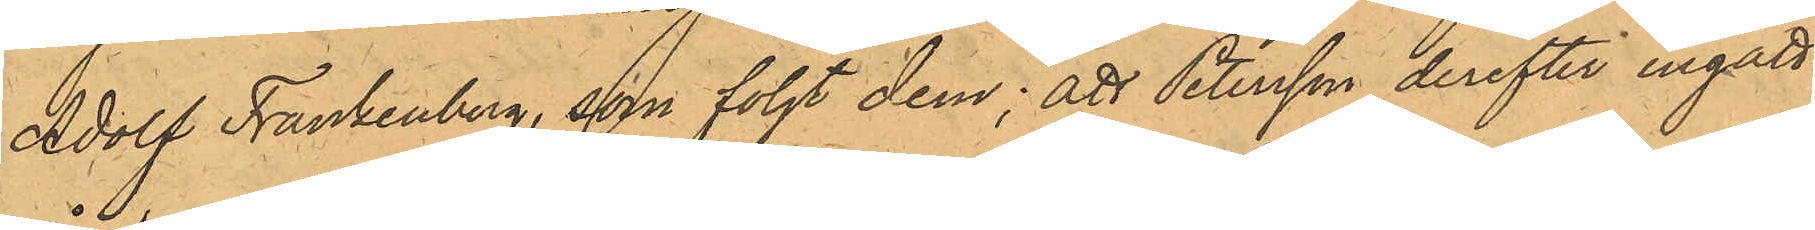Adolf Frankenberg, som följt dem; att Petersson derefter ingått
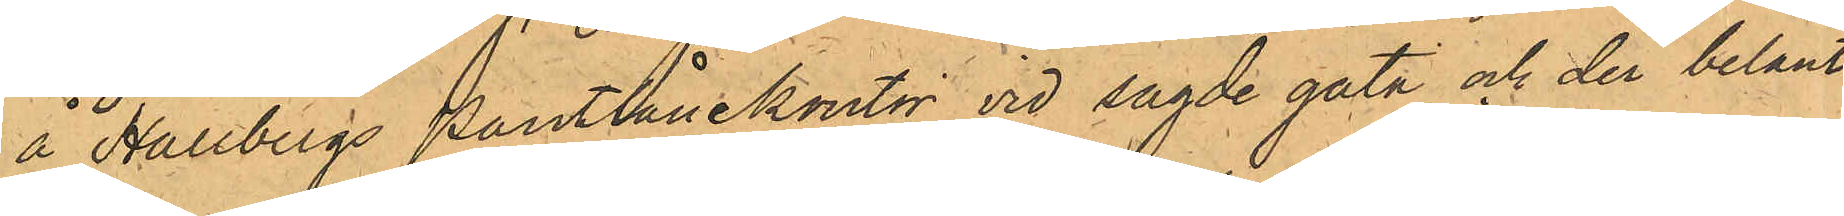å Hallbergs Pantlånekontor vid sagde gata och der belånt
